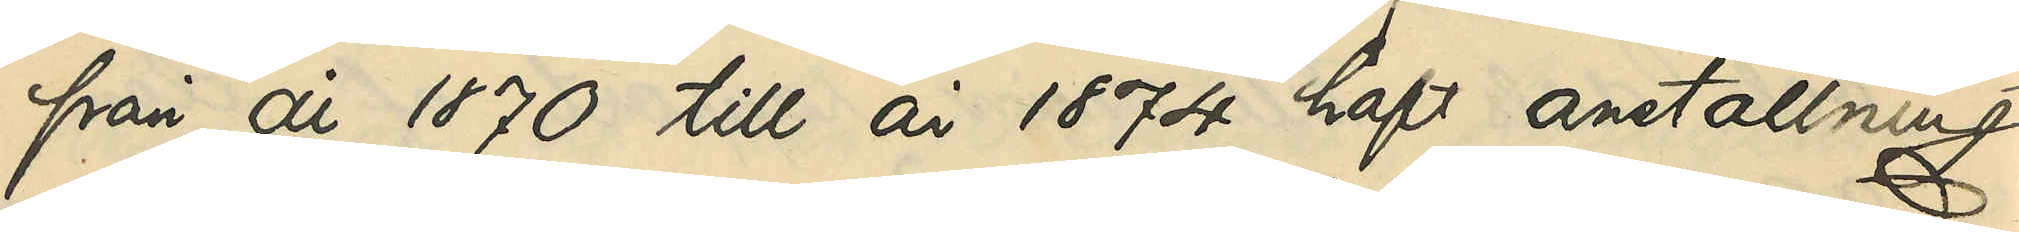från år 1870 till år 1874 haft anställning
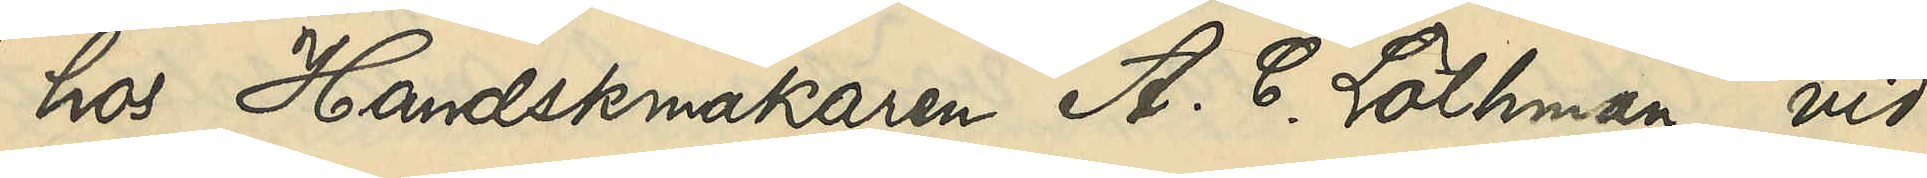hos Handskmakaren A. C. Löthman vid
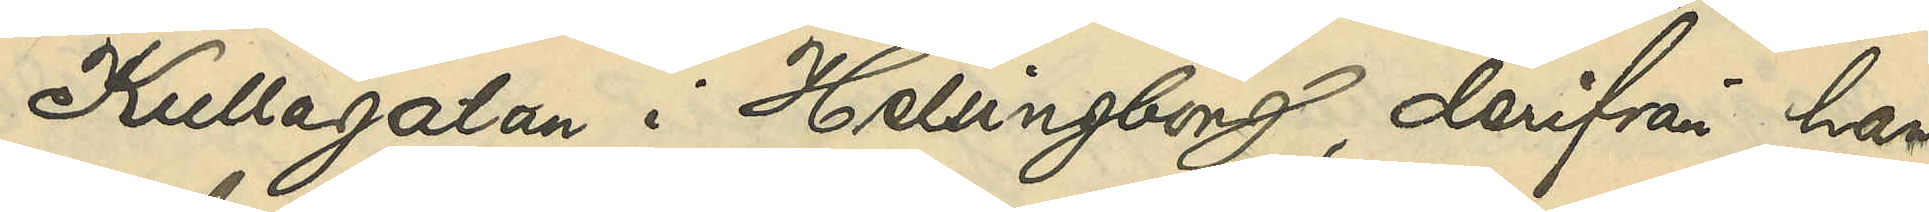Kullagatan i Helsingborg, derifrån han
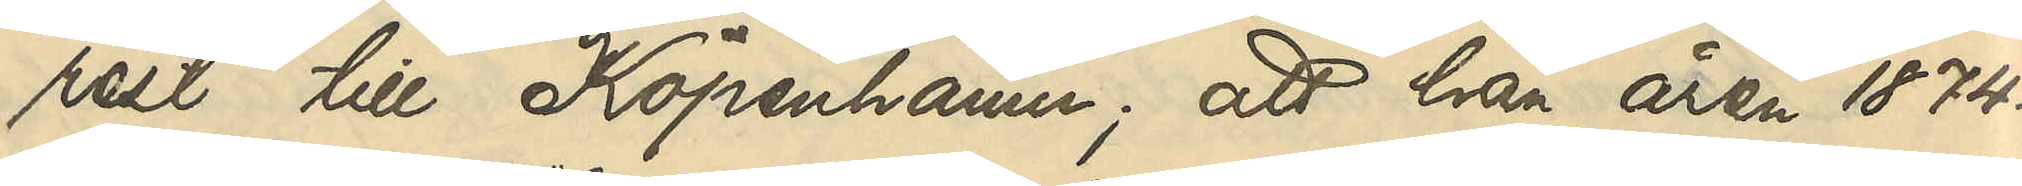rest till Köpenhamn; att han åren 1874 -
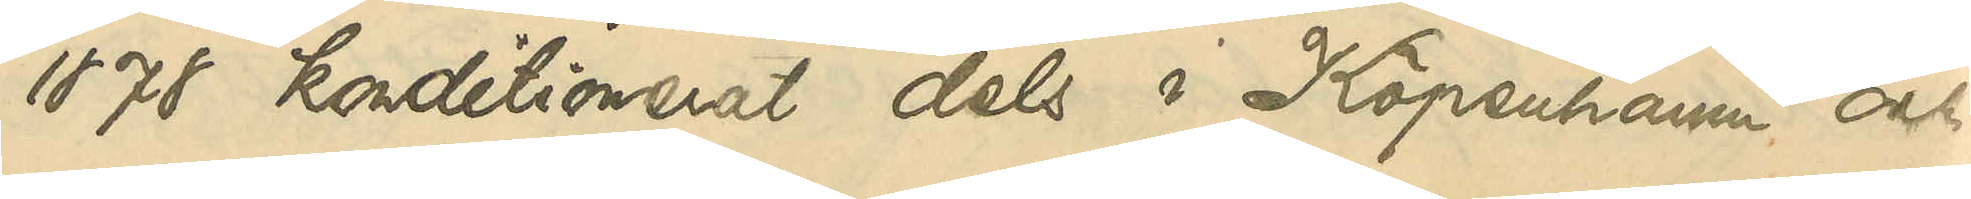 - 1878 konditionerat dels i Köpenhamn och
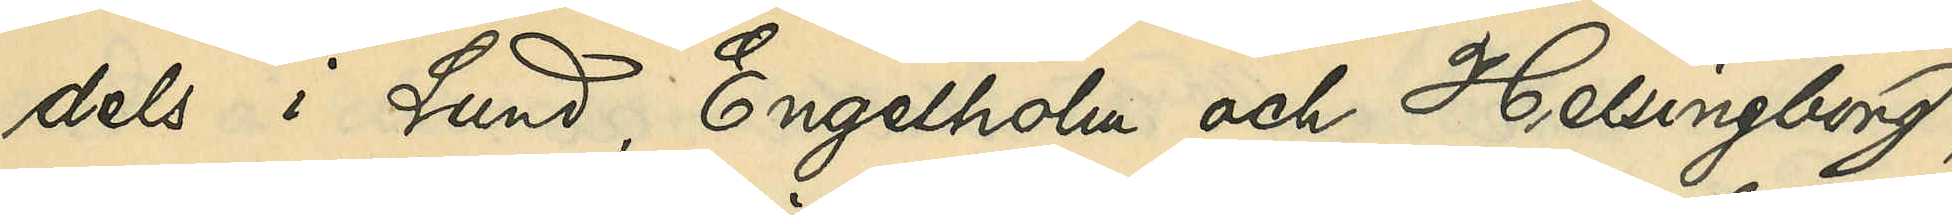dels i Lund, Engelholm och Helsingborg,
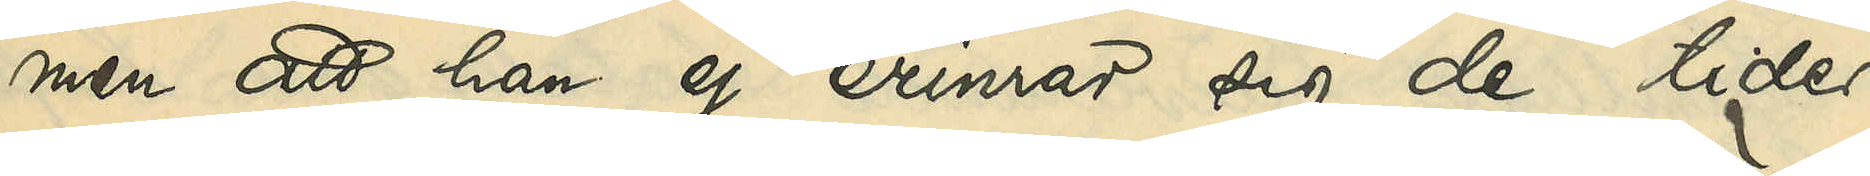men att han ej erinrar sig de tider,
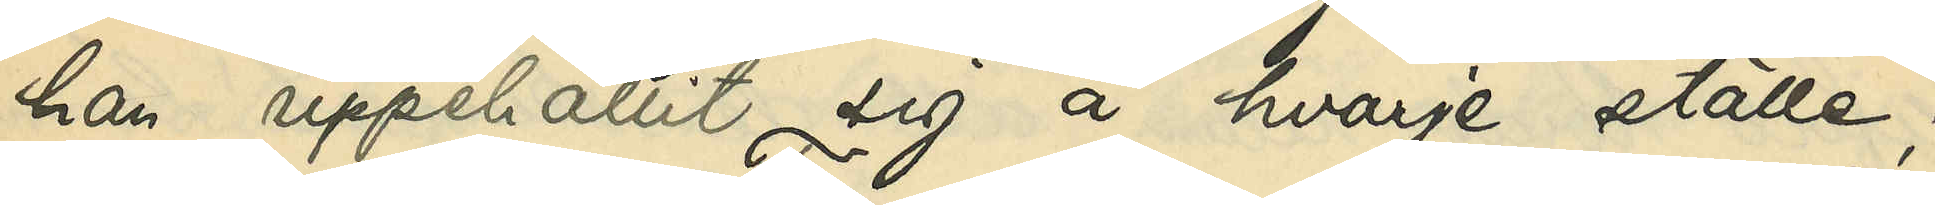han uppehållit sig å hvarje ställe;
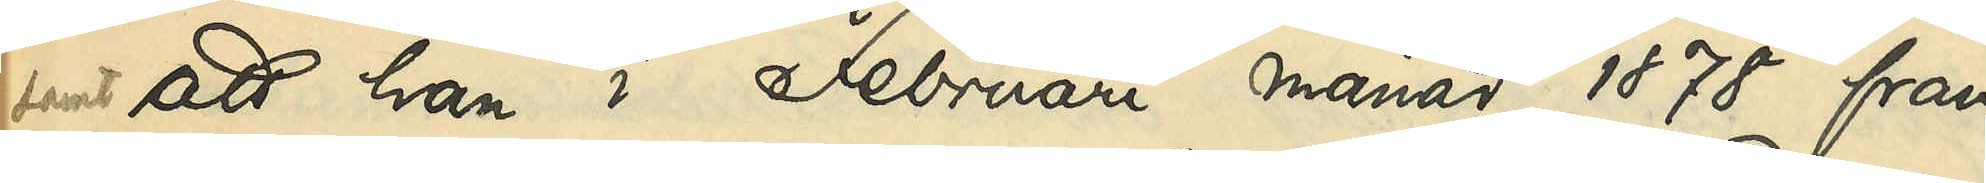samt att han i Februari månad 1878 från
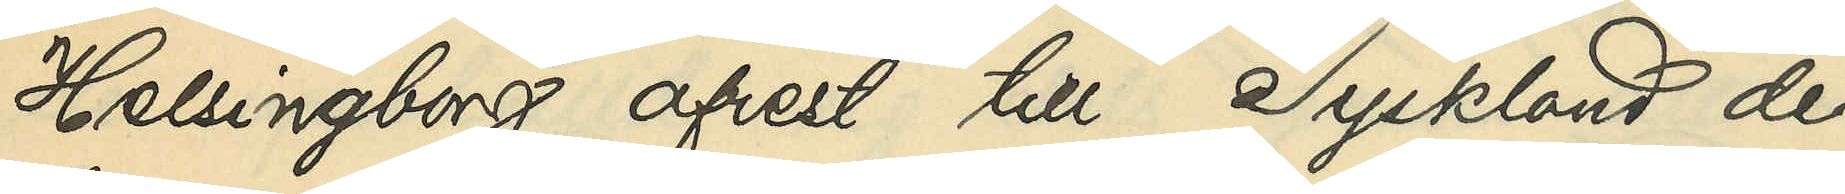Helsingborg afrest till Tyskland, der
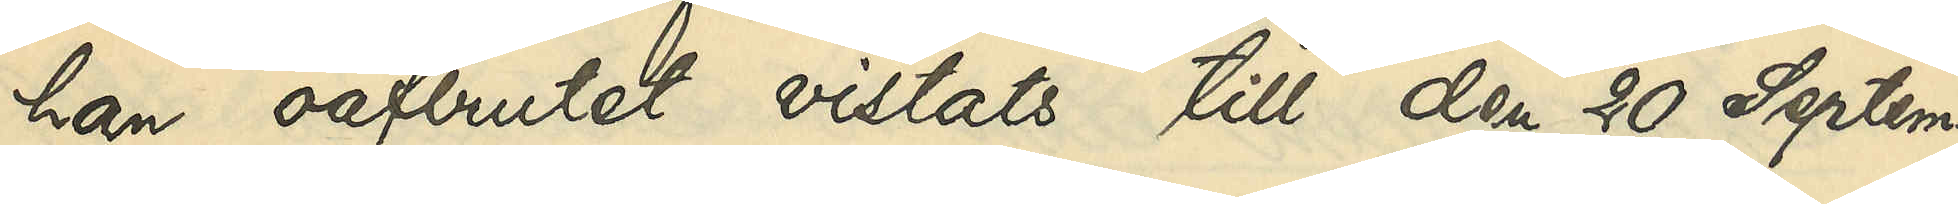han oafbrutet vistats till den 20 Septem¬
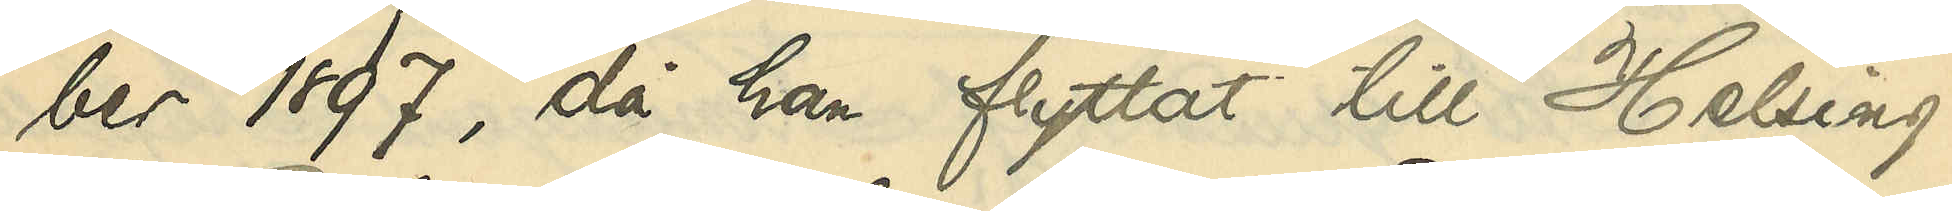ber 1897, då han flyttat till Helsing¬
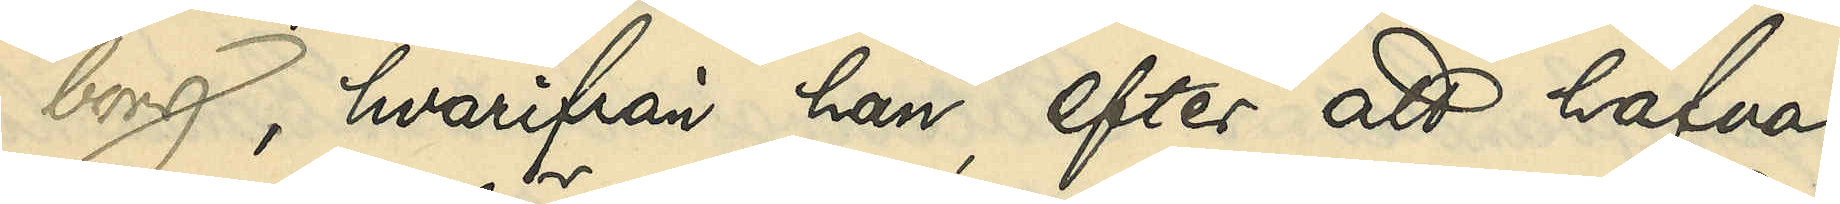borg, hvarifrån han, efter att hafva
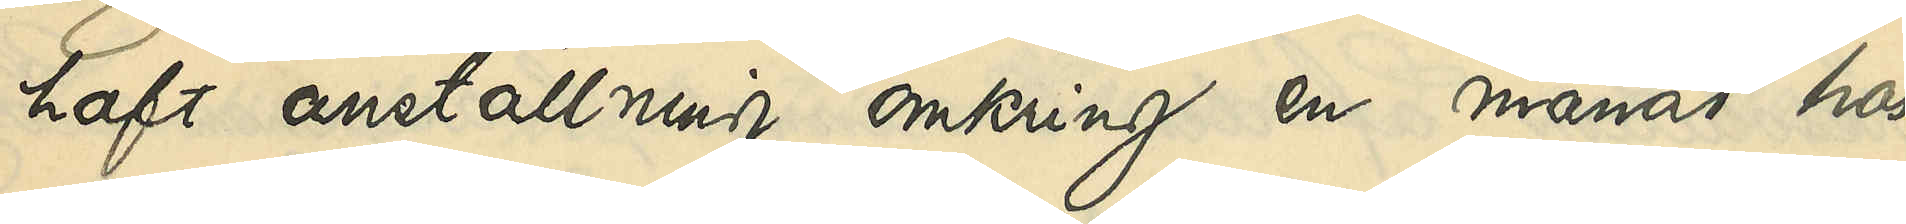haft anställning omkring en månad hos
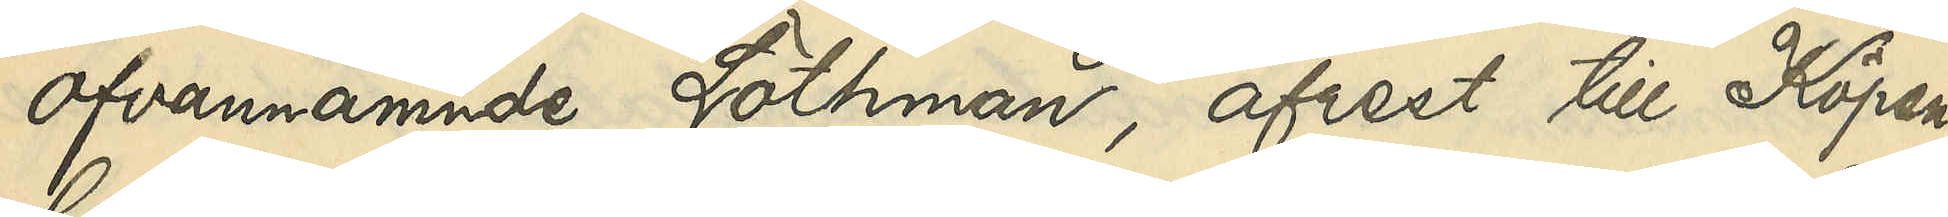ofvannämnde Löthman, afrest till Köpen¬
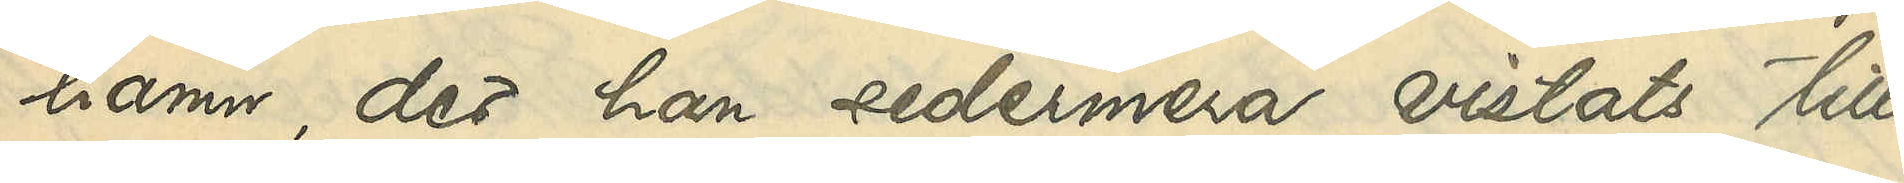hamn, der han sedermera vistats till
